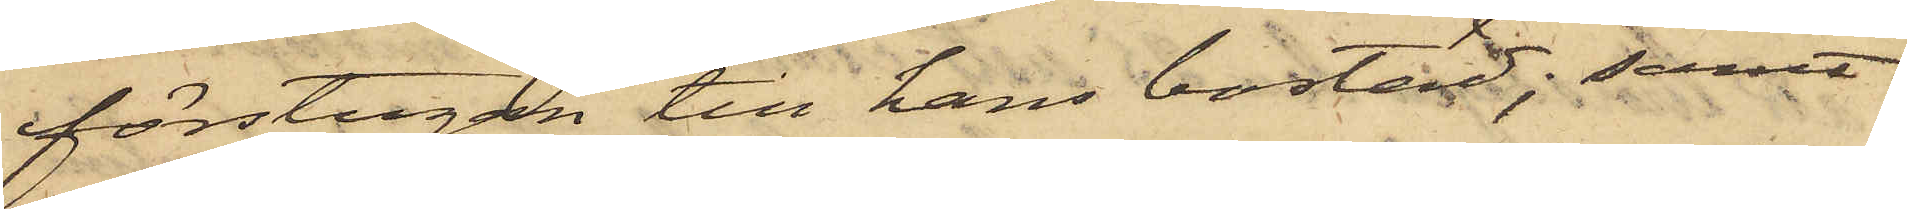förstugan till hans bostad; samt
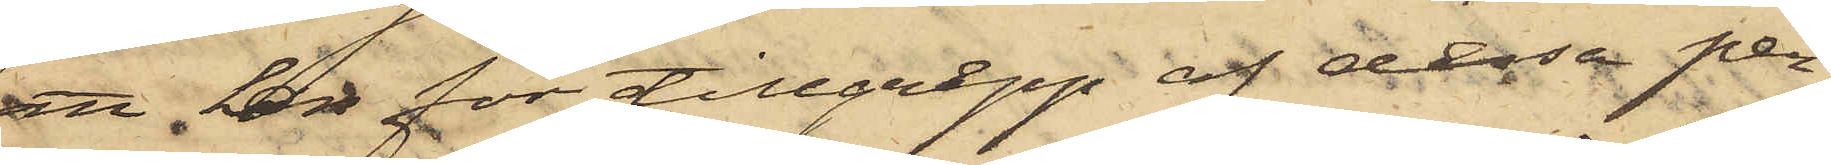att han för tillgrepp af dessa per¬
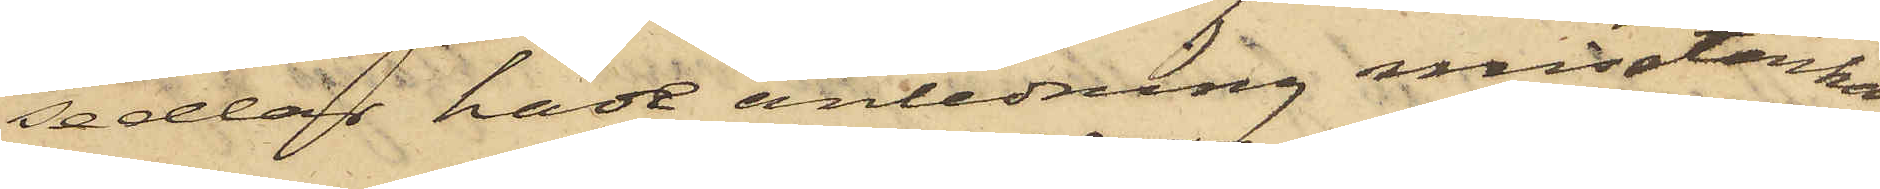sedlar hade anledning misstänka
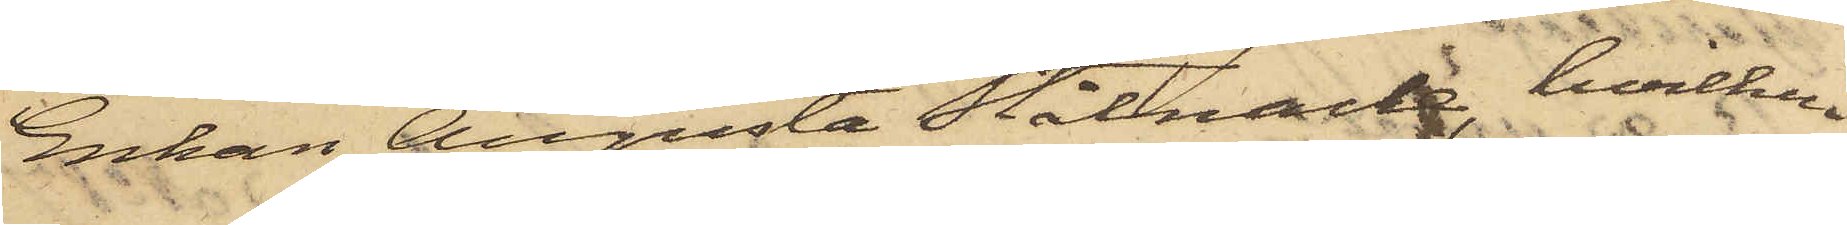Enkan Augusta Stålnacke, hvilken
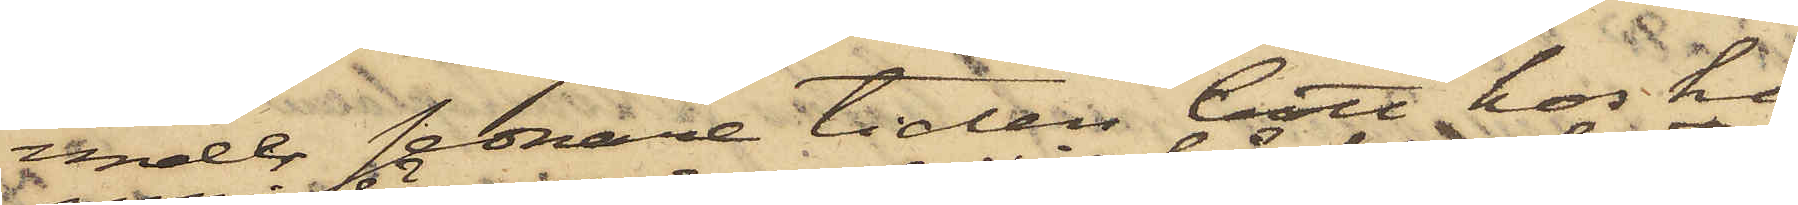under sednare tiden bott hos ho¬
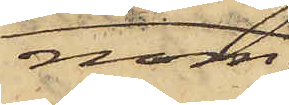nom,
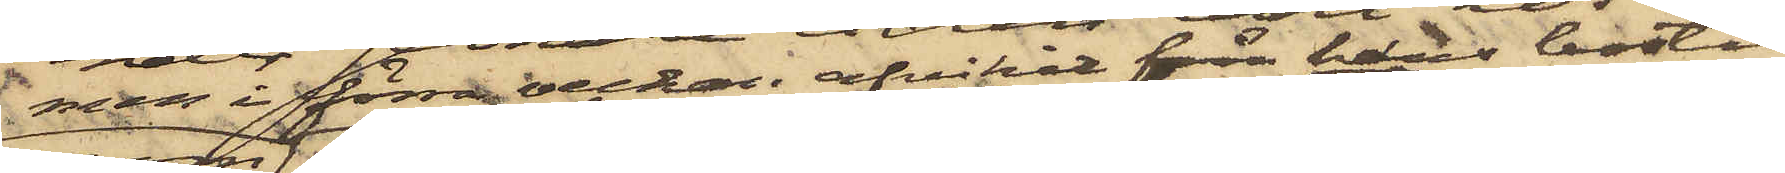men i förra veckan afvikit från hans bostad
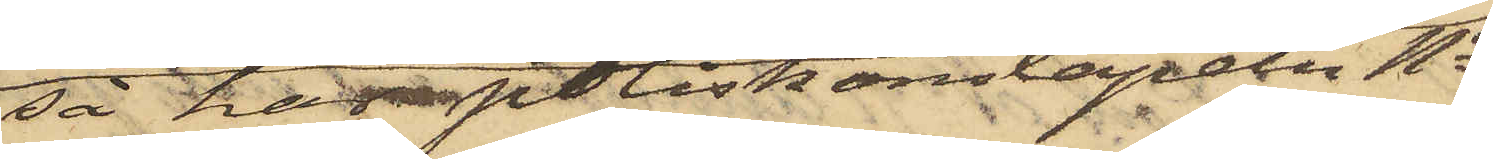så har poliskonstapeln No
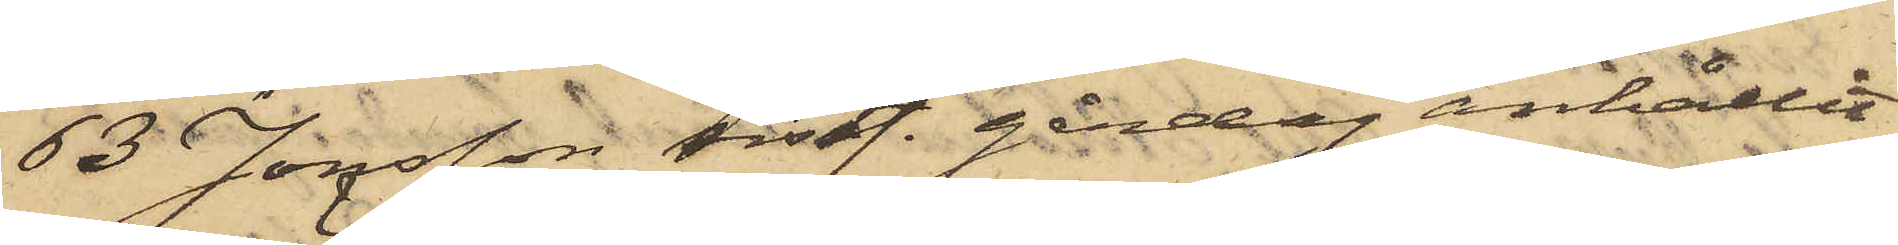63 Jonsson sistl. gårdag anhållit
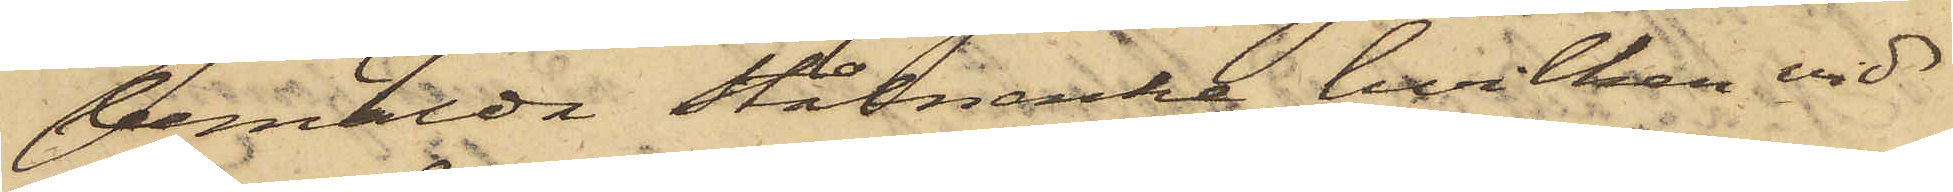bemälda Stålnacke, hvilken vid
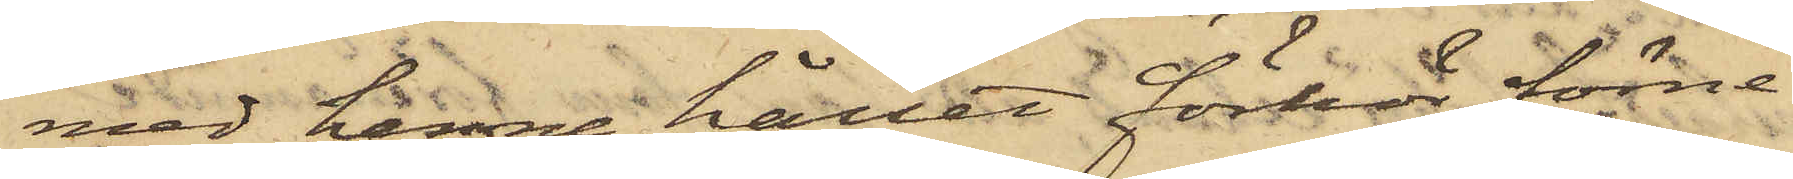med henne hållet förhör förne¬
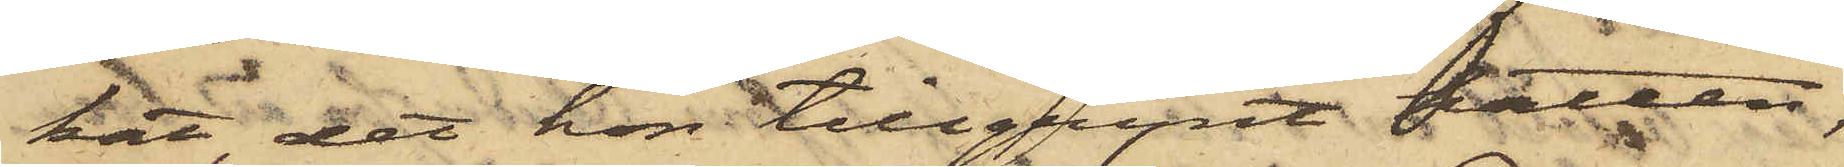kat, det hon tillgripit hatten,
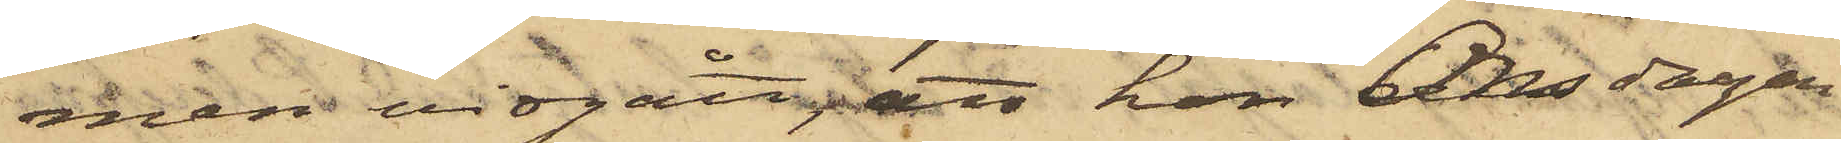men vidgått, att hon Onsdagen
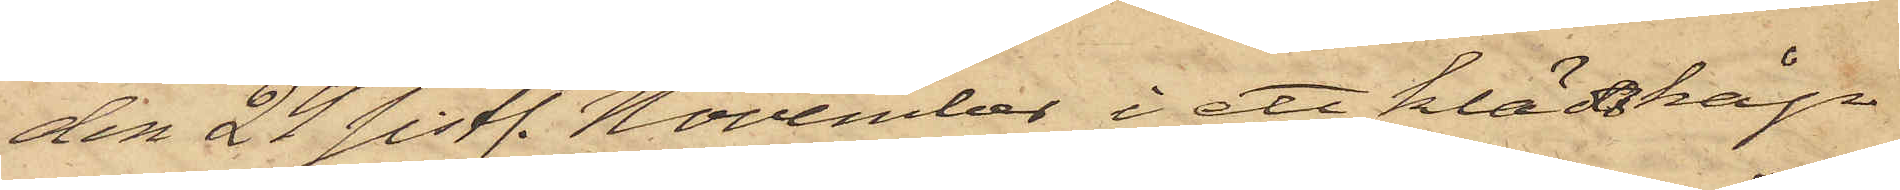den 24 sistl. November i ett klädskåp
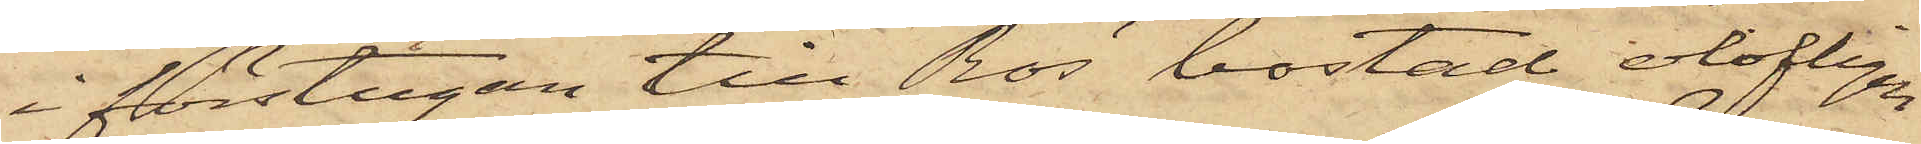i förstugan till Ros' bostad olofligen
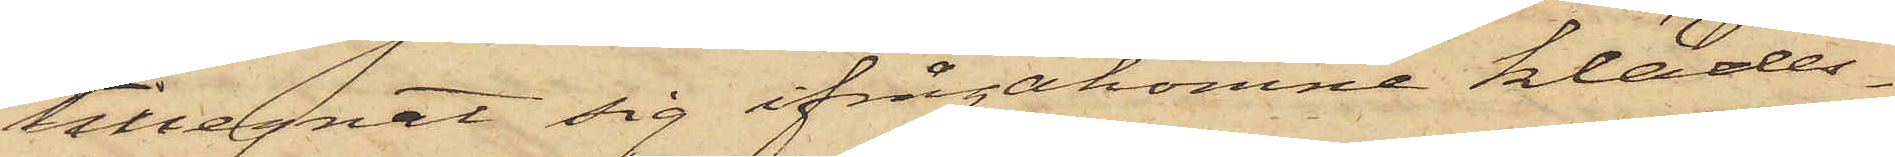tillegnat sig ifrågakomne klädes¬
